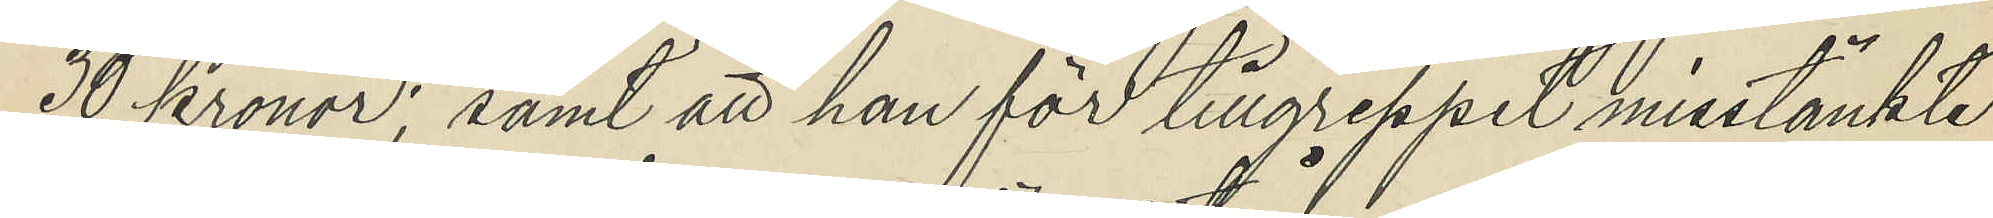30 Kronor; samt att han för tillgreppet misstänkte
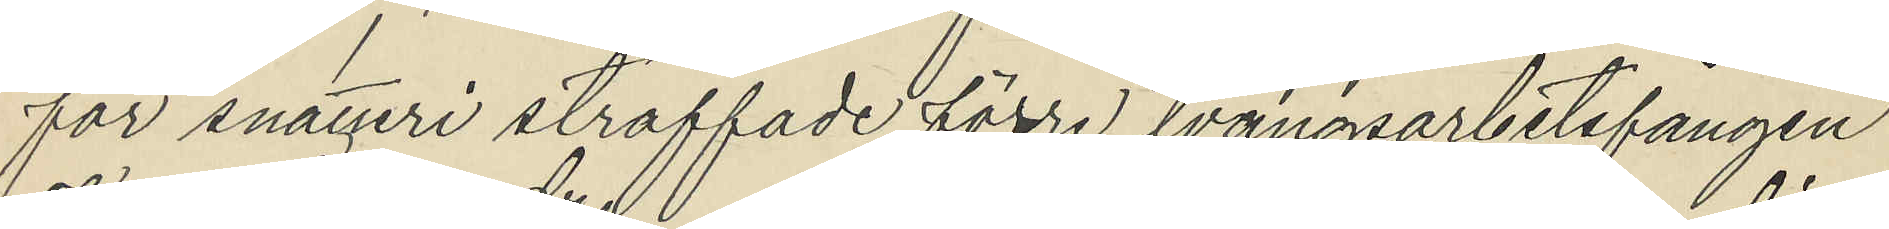för snatteri straffade förre tvångsarbetsfången
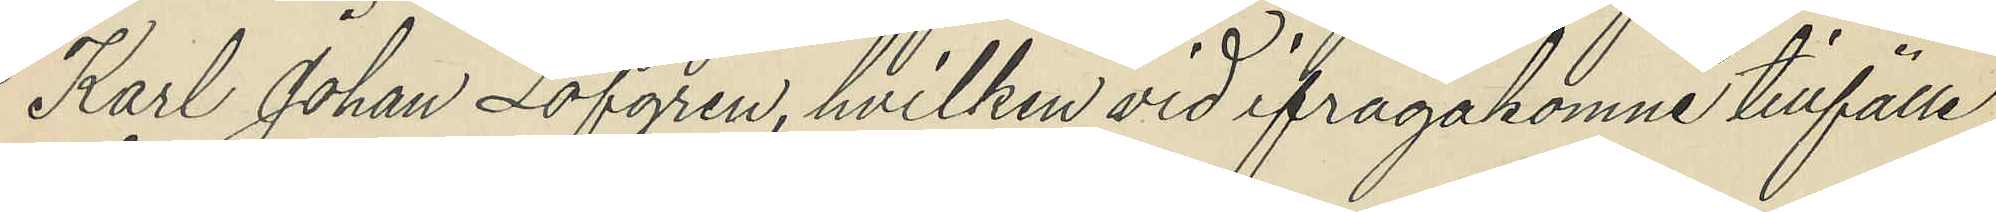Karl Johan Löfgren, hvilken vid ifrågakomne tillfälle
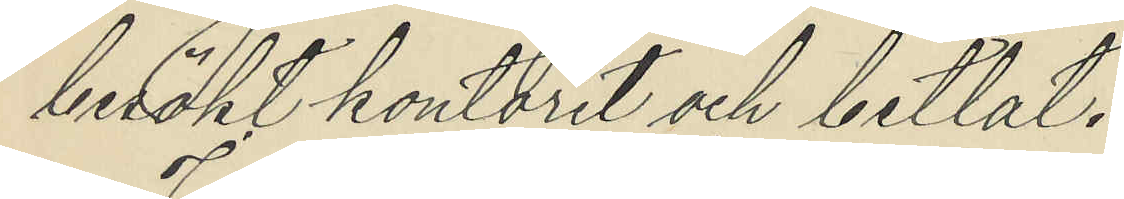besökt kontoret och betlat.
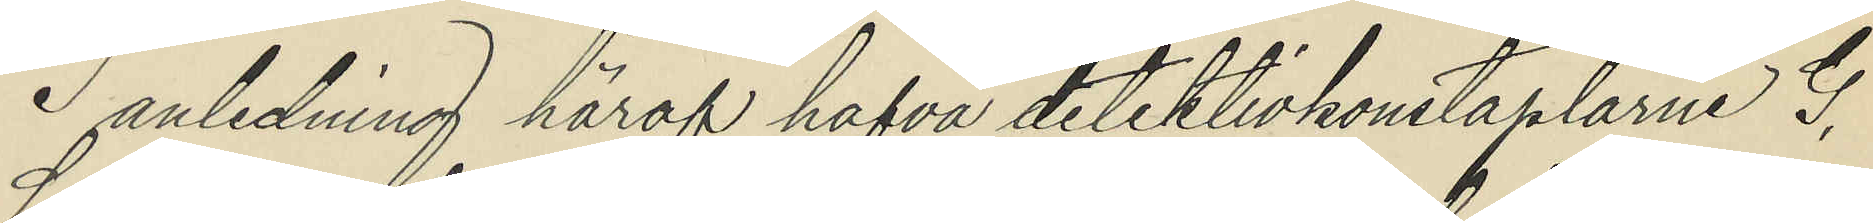 I anledning häraf hafva detektivkonstaplarne G.
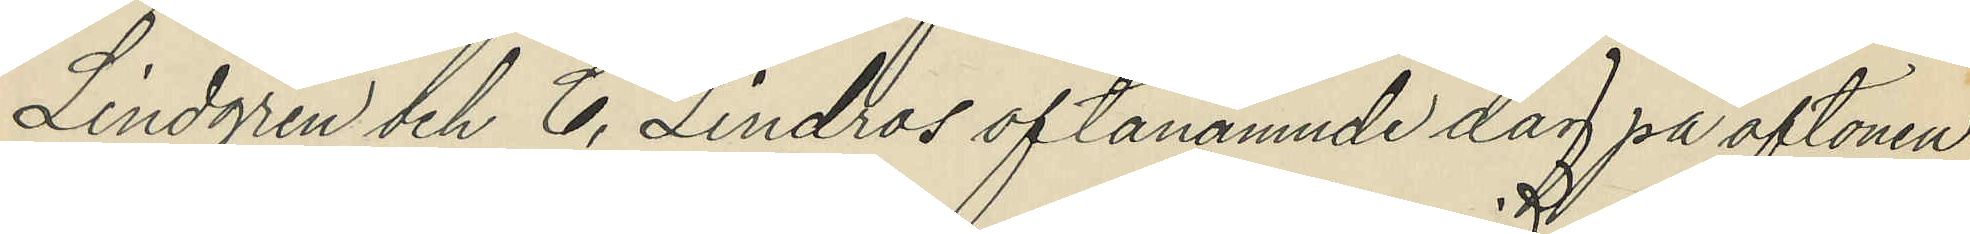Lindgren och C. Lindros oftanämnde dag på aftonen
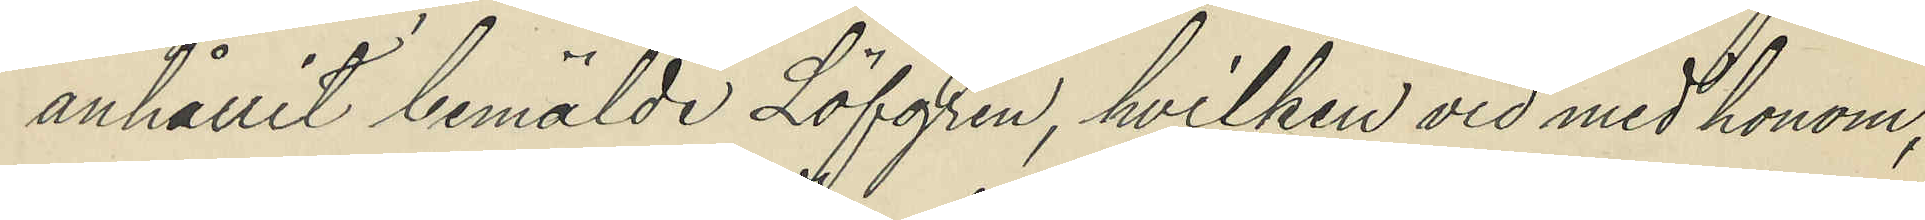anhållit bemälde Löfgren, hvilken vid med honom,
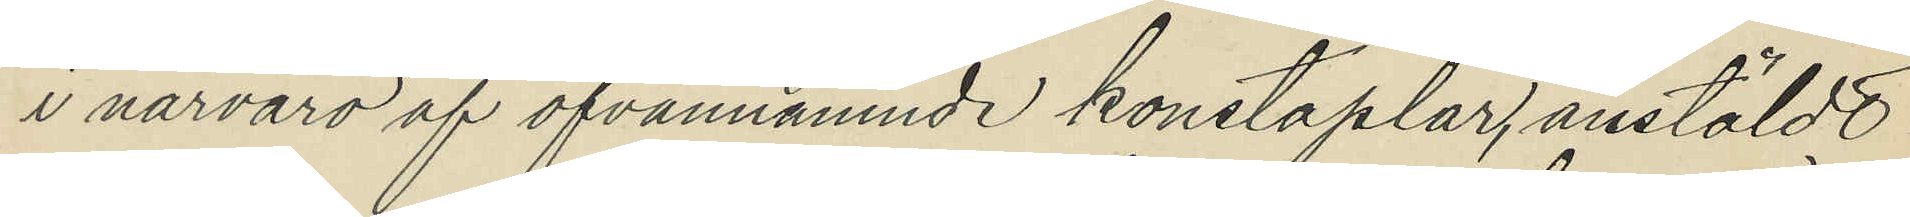i närvaro af ofvannämnde konstaplar, anstäldt
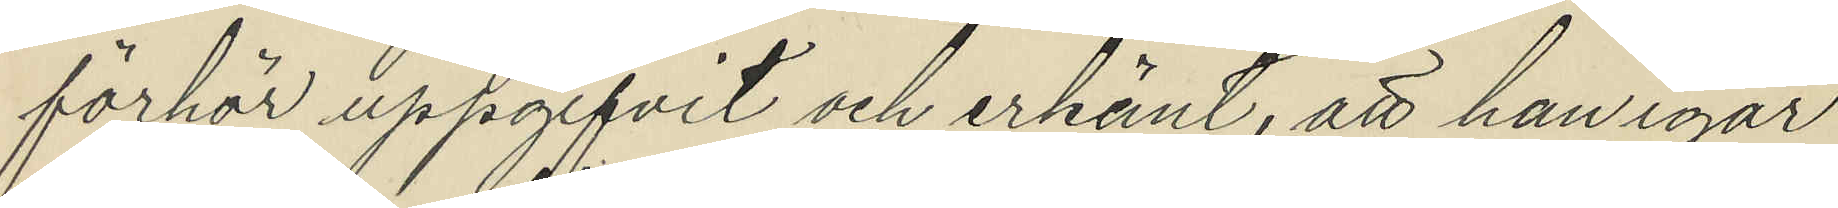förhör uppgifvit och erkänt, att han igår
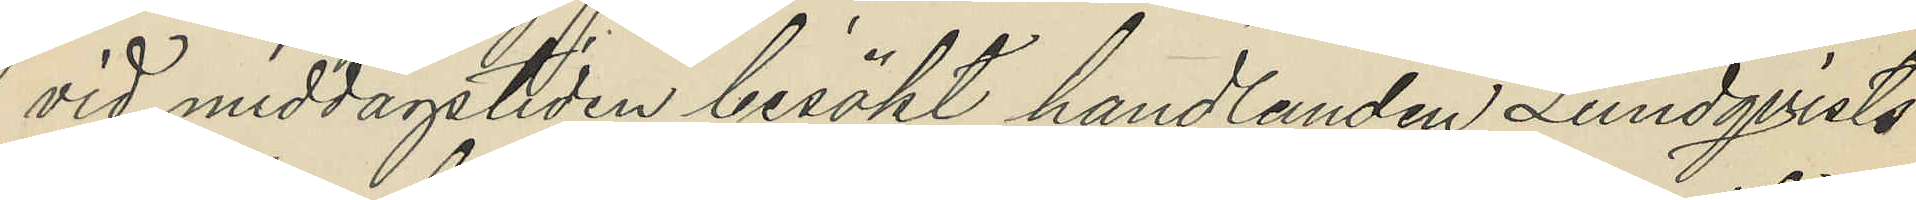vid middagstiden besökt handlanden Lundqvists
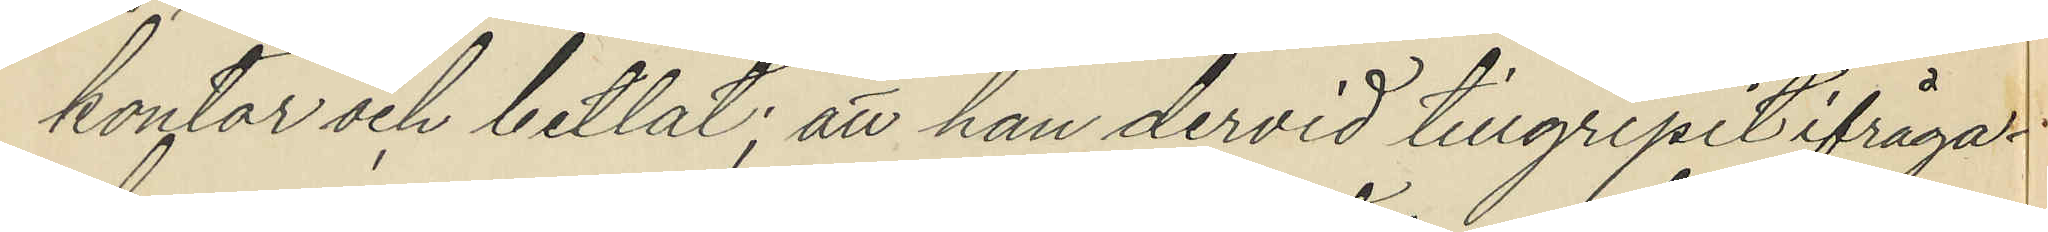koytar och betlat; att han dervid tillgripit ifråga¬
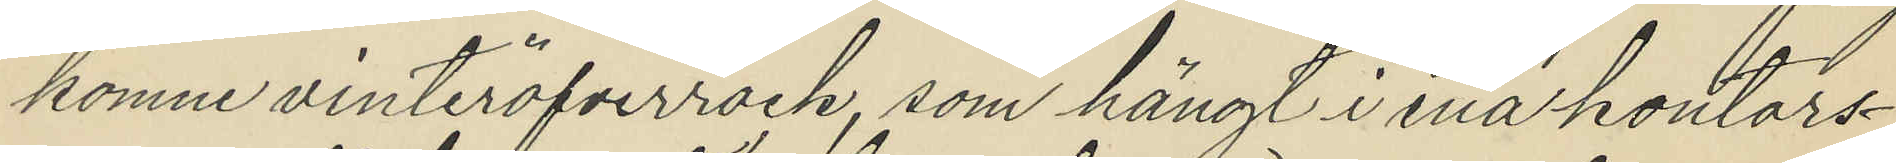komne vinteröfverrock, som hängt i ena kontors¬
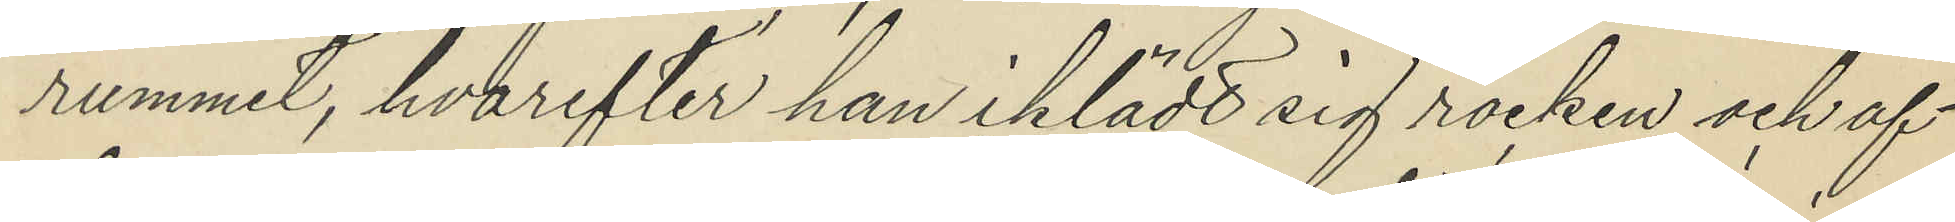rummet, hvarefter han iklädt sig rocken och af
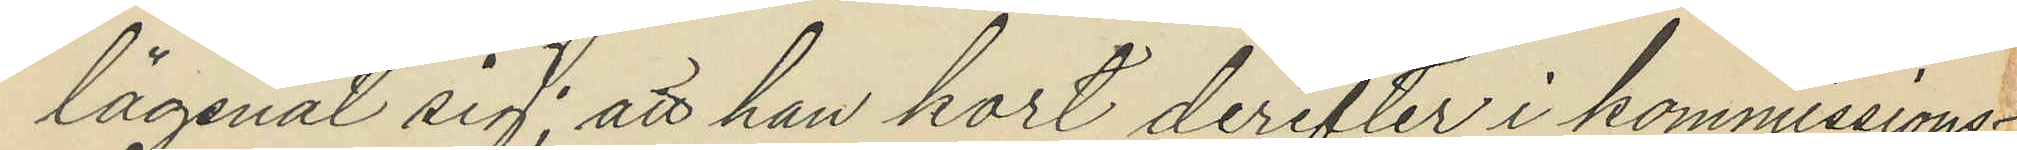lägsnat sig; att han kort derefter i kommissons¬
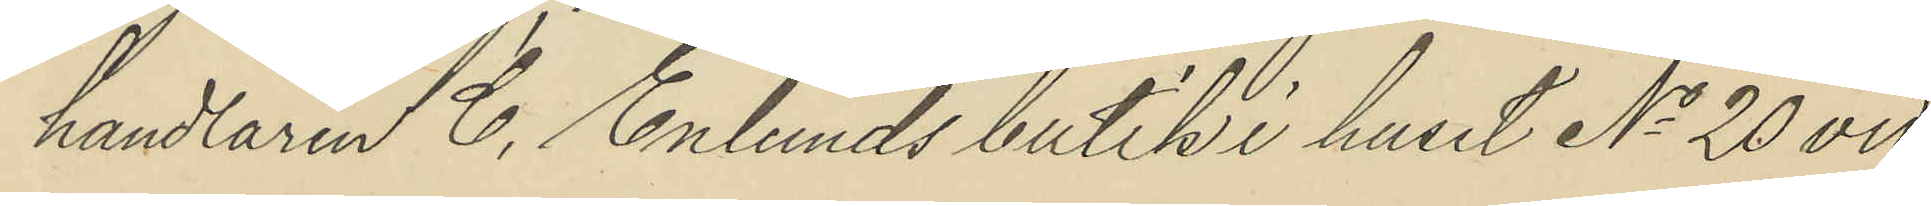handlaren C. Enlunds butik i huset No 20 vid
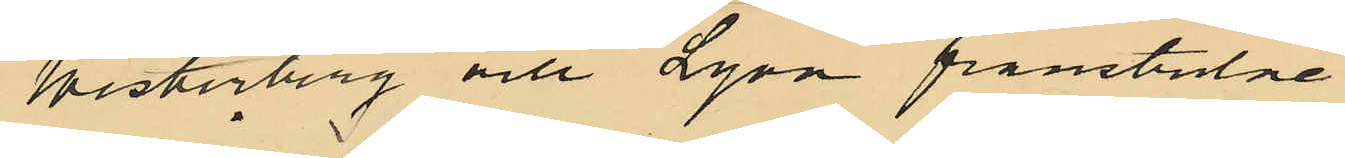Westerberg och Lyon frånstulne
